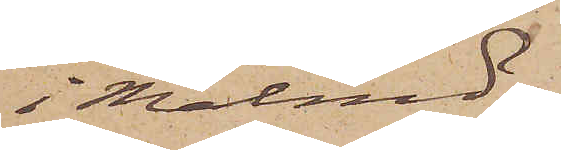i Malmö.
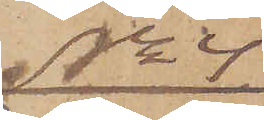No 4
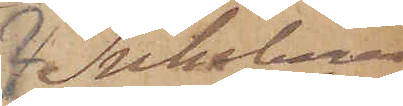Inhiberas
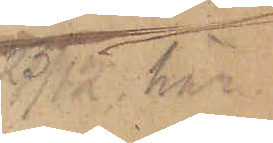 23/12 här
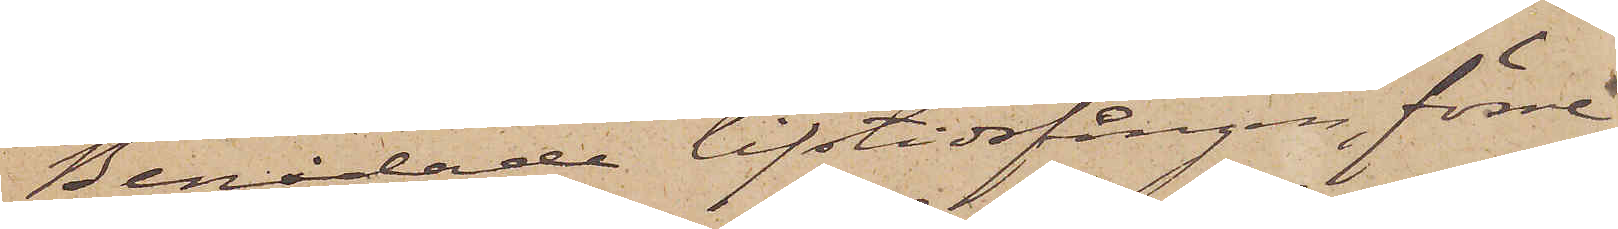Benådade lifstidsfången, förre
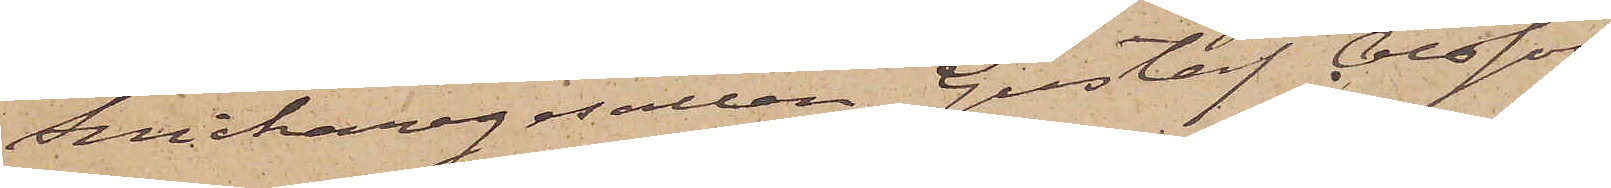Snickaregesällen Gustaf Olsson
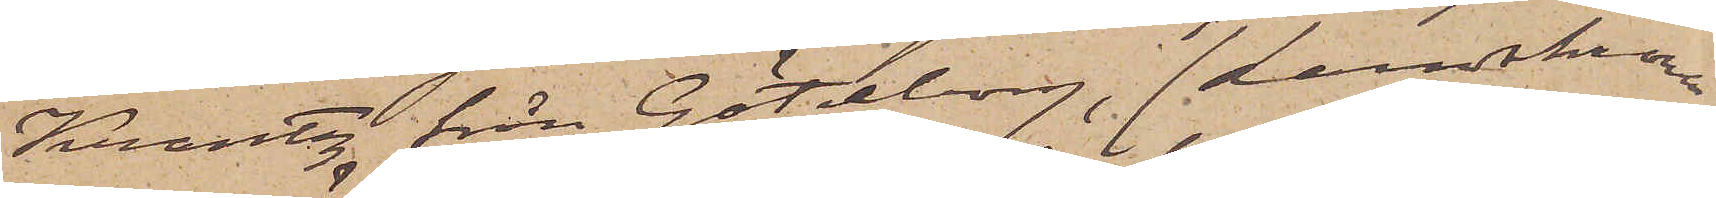Krantz från Göteborg, (Landskrona
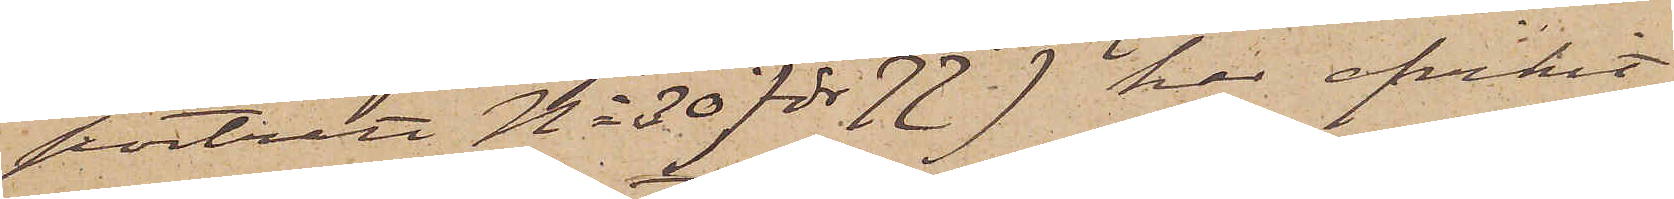porträtt No 30 för 77) har afvikit
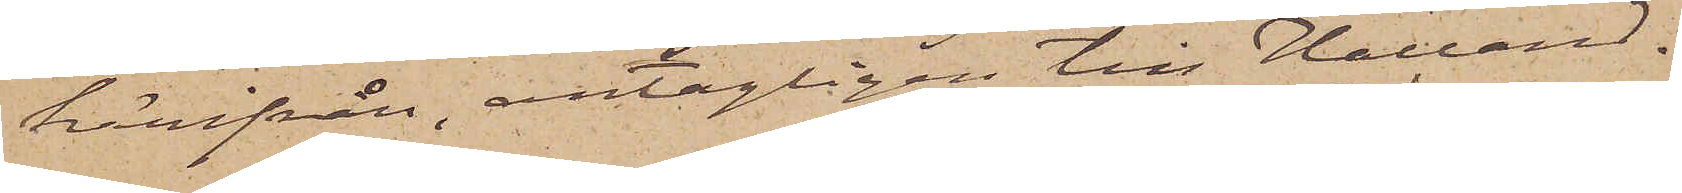härifrån, antagligen till Halland.
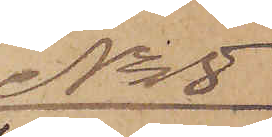No 5
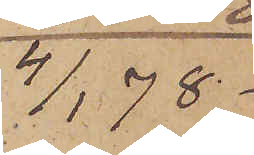4/1 78.
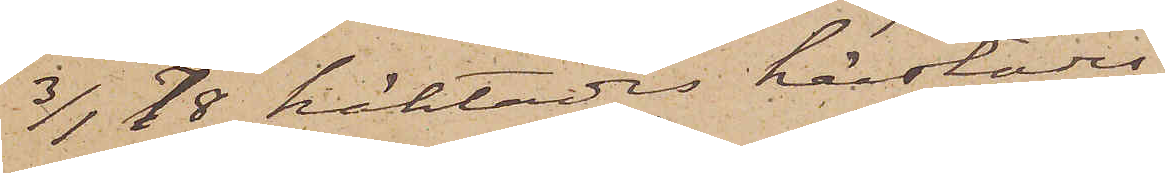3/1 78 häktades härstädes
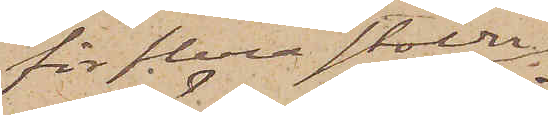för flera stölder
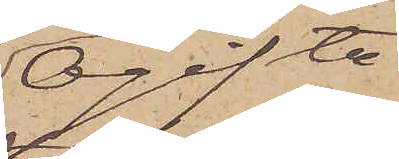Ogifta
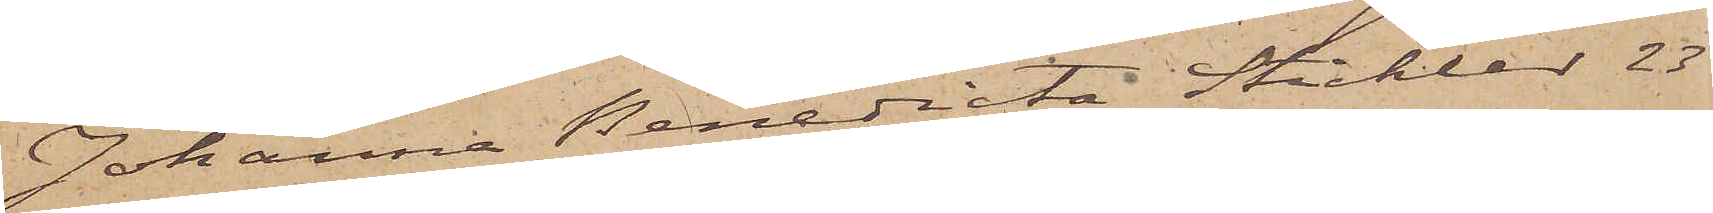Johanna Benedicta Stichler 23
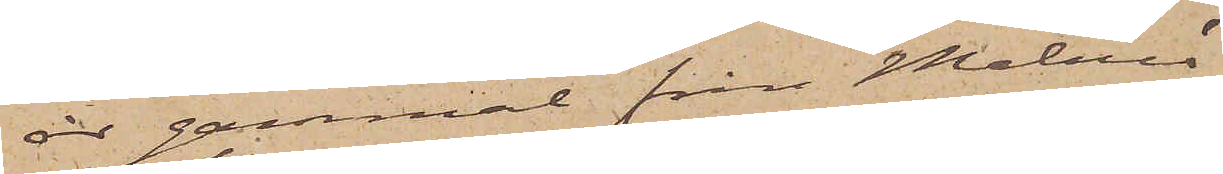år gammal från Malmö
